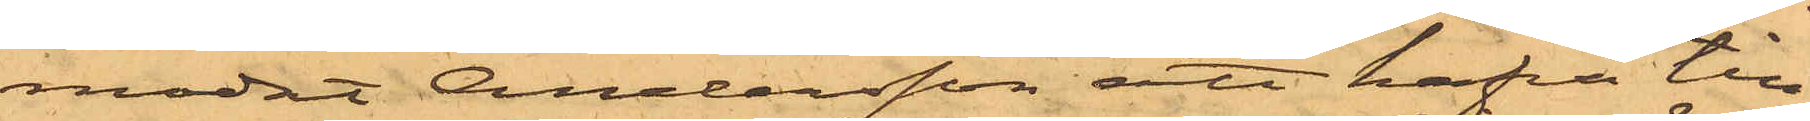modat Andersson att hafva till¬
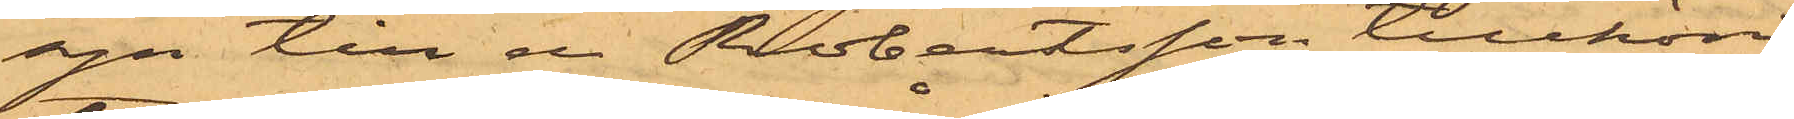syn till en Robertsson tillhörig
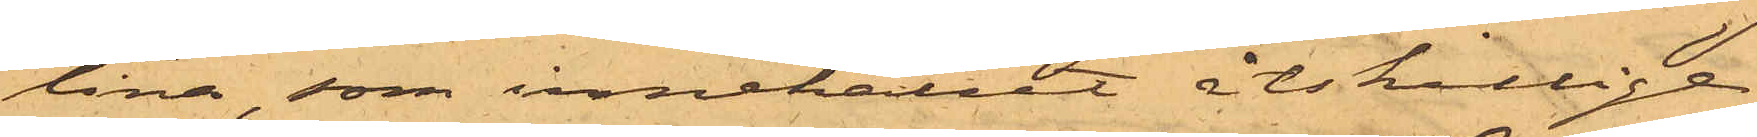tina, som innehållit åtskillige
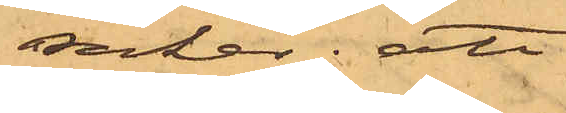saker; att
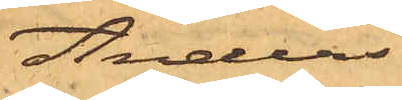Anders¬
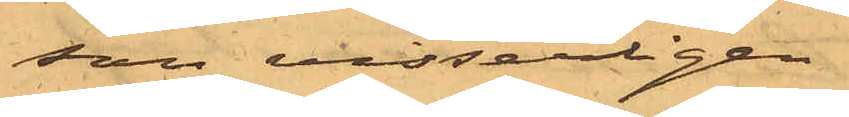son visserligen
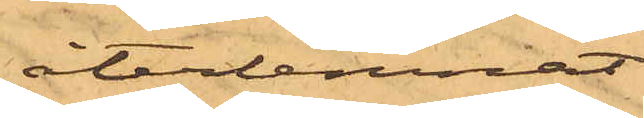återlemnat
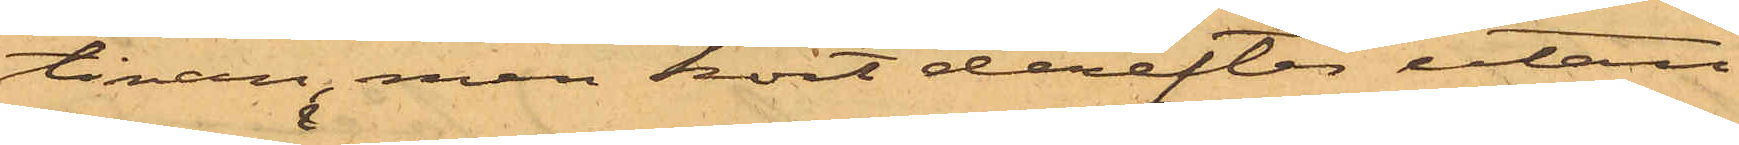tinan, men kort derefter utan
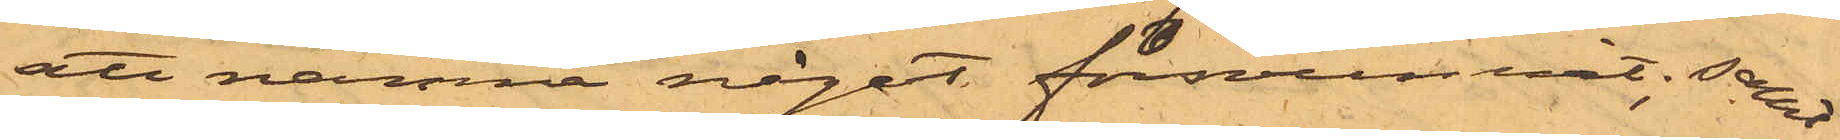att nämna något försvunnit; samt
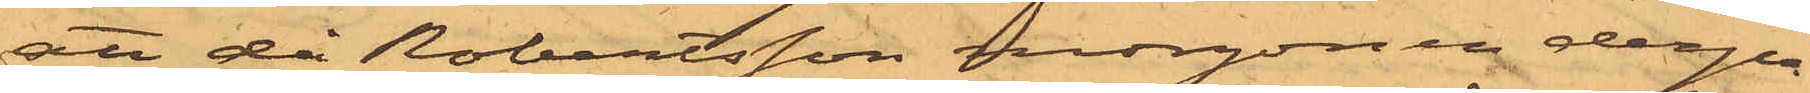att då Robertsson morgonen derpå
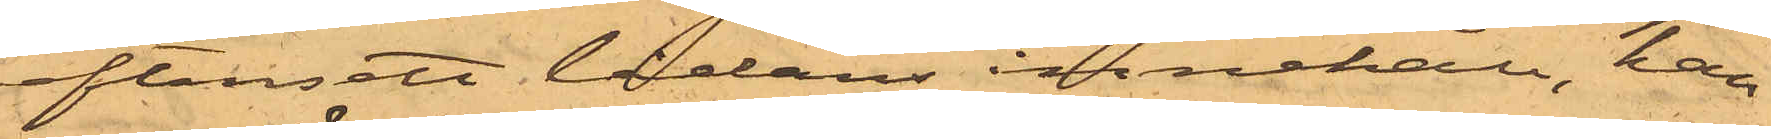eftersett lådans innehåll, han
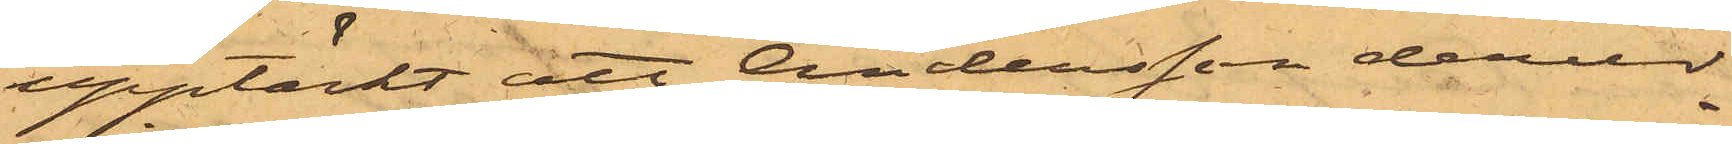upptäckt att Andersson derur
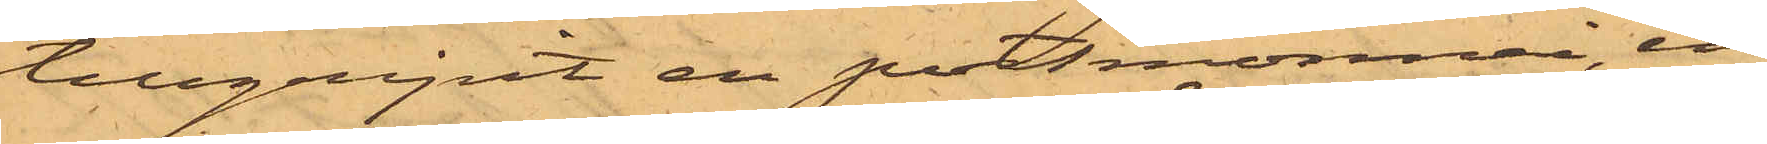tillgripit en portmonnai, in¬
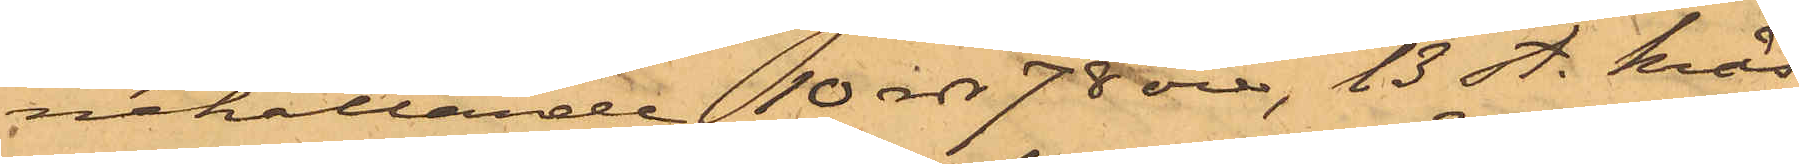nehållande 10 rdr 78 öre, 13 st. krås¬
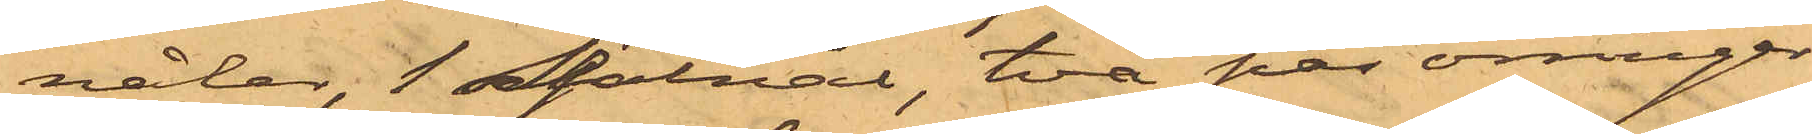nålar, 1 sjalnål, två par örringar
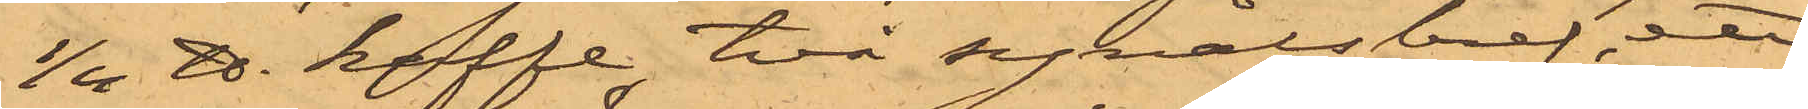1/4 ℔. kaffe, två synålsbref, ett
